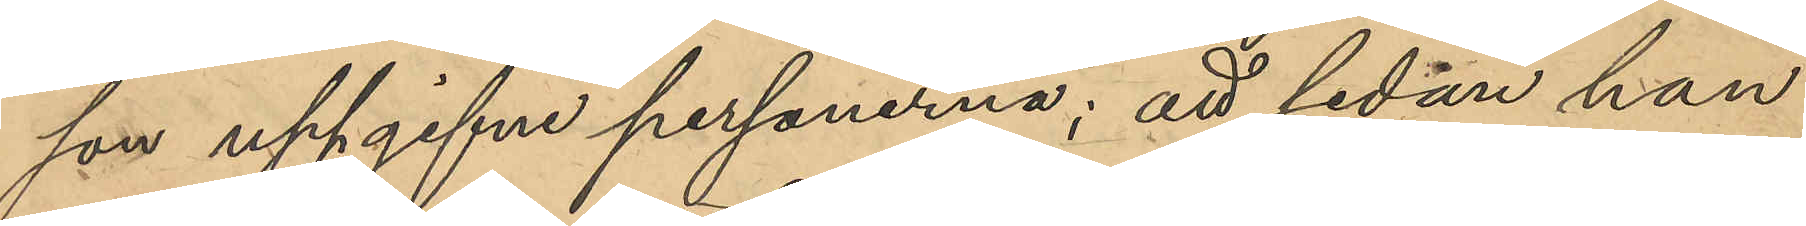son uppgifne personerna; att sedan han
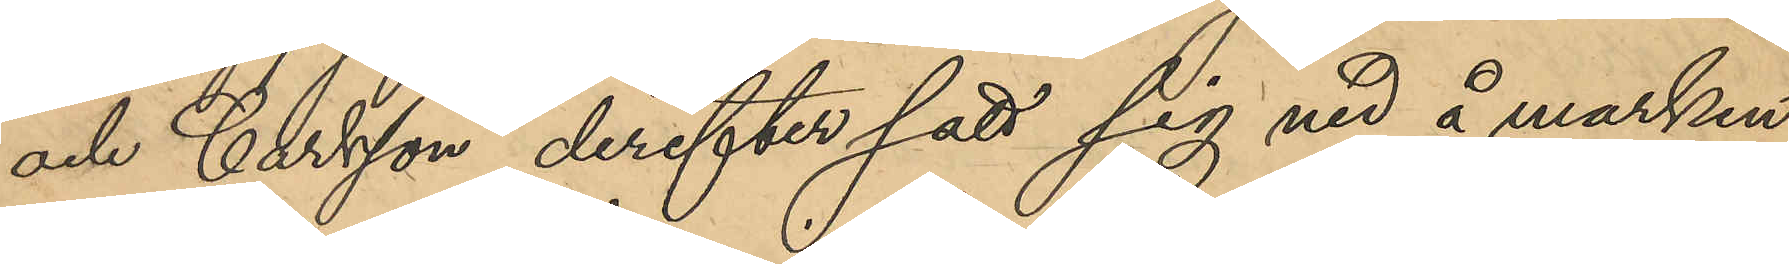och Carlsson derefter satt sig ned å marken
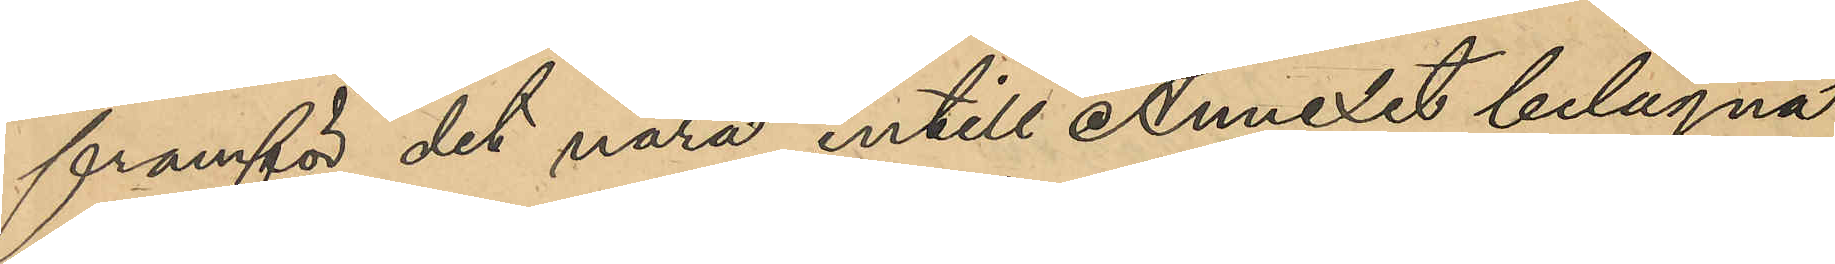framför det nära intill Annexet belägna
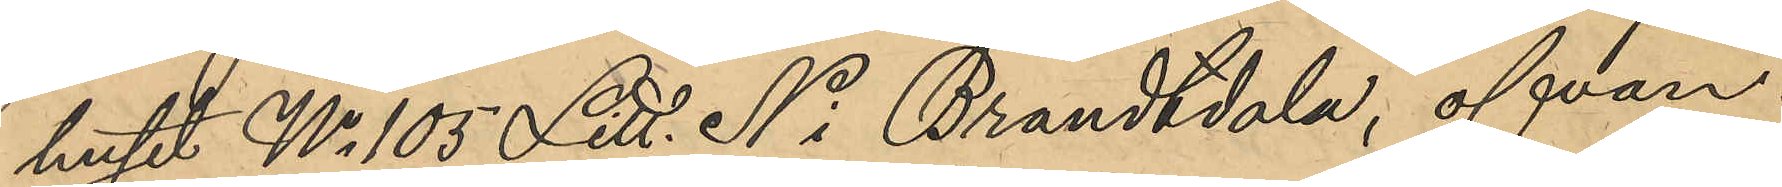huset No 105 Litt. N i Brandtdala, ofvan¬
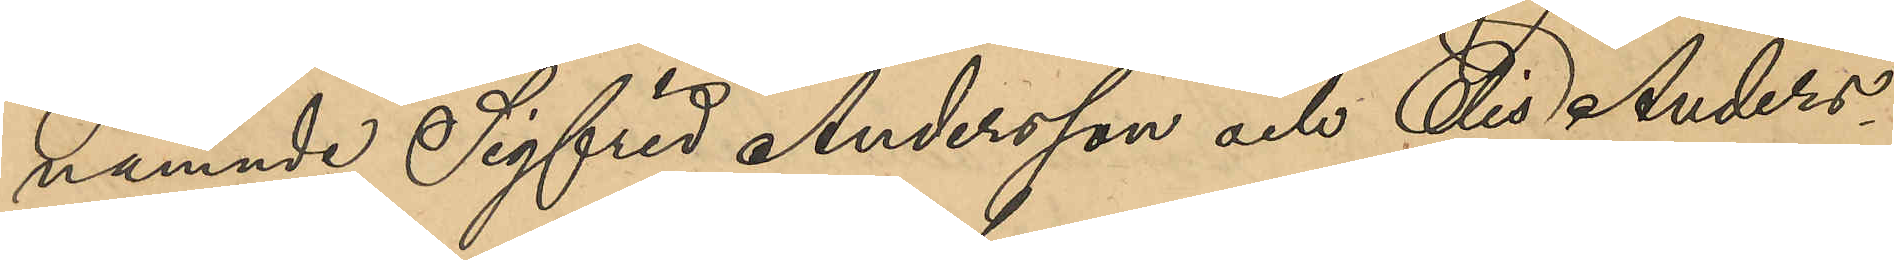nämnde Sigfrid Andersson och Elis Anders¬
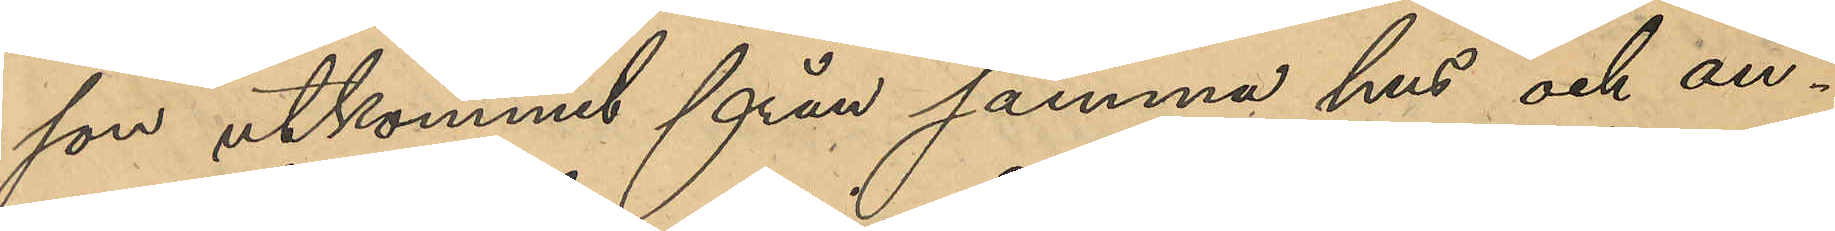son utkommit från samma hus och an¬
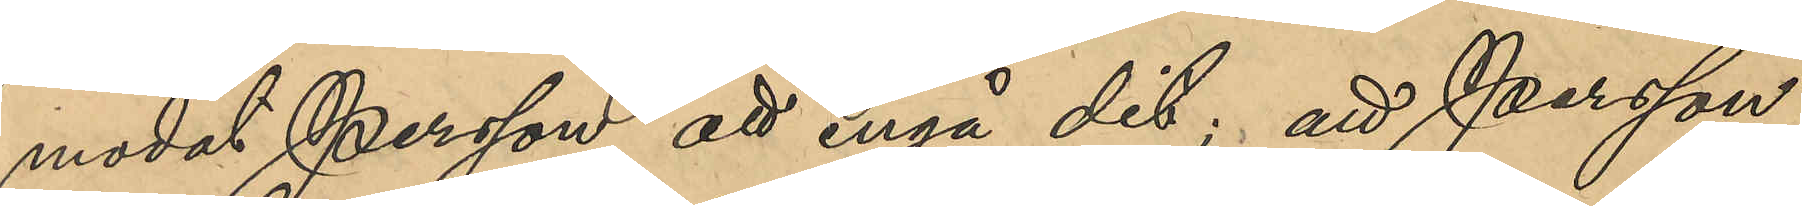modat Persson att ingå dit: att Persson
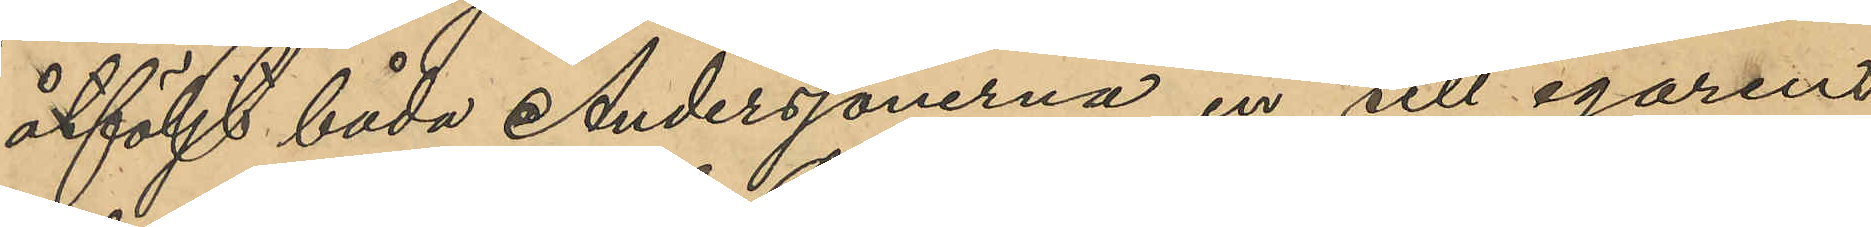åtföljt båda Anderssönerna in till egarens
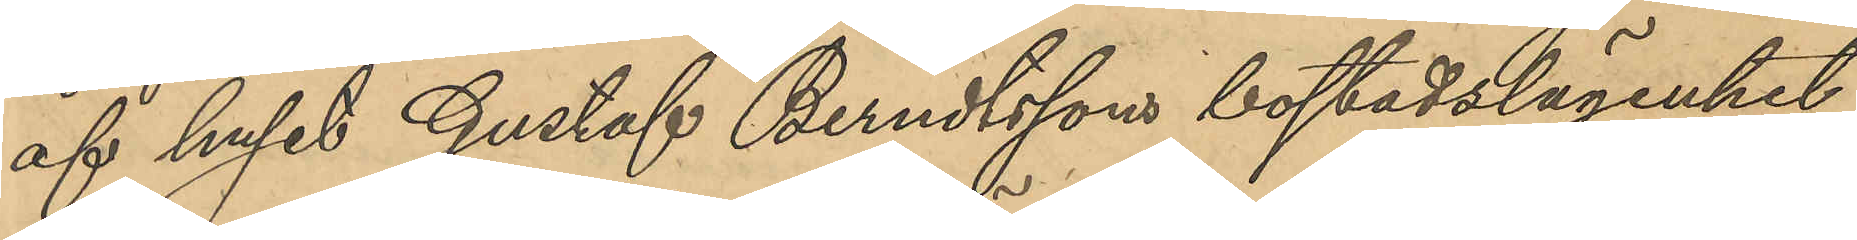af huset Gustaf Berndtssons bostadslägenhet,
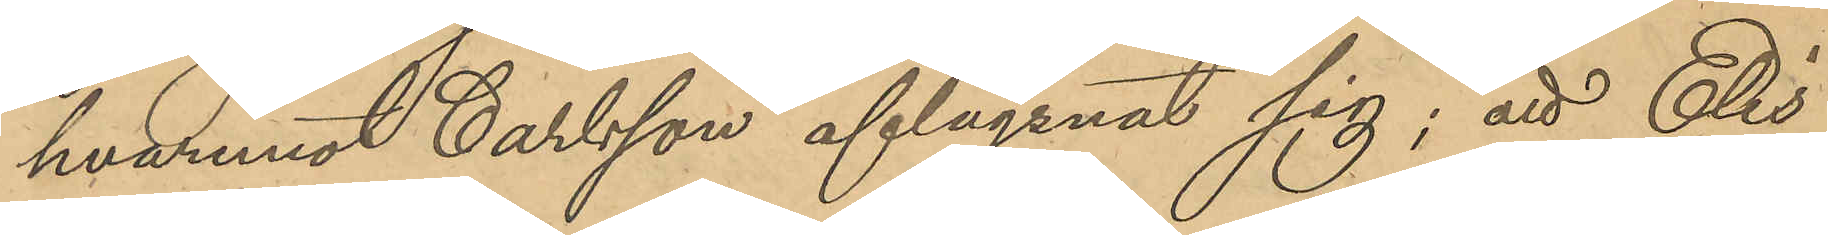hvaremot Carlsson aflägsnat sig; att Elis
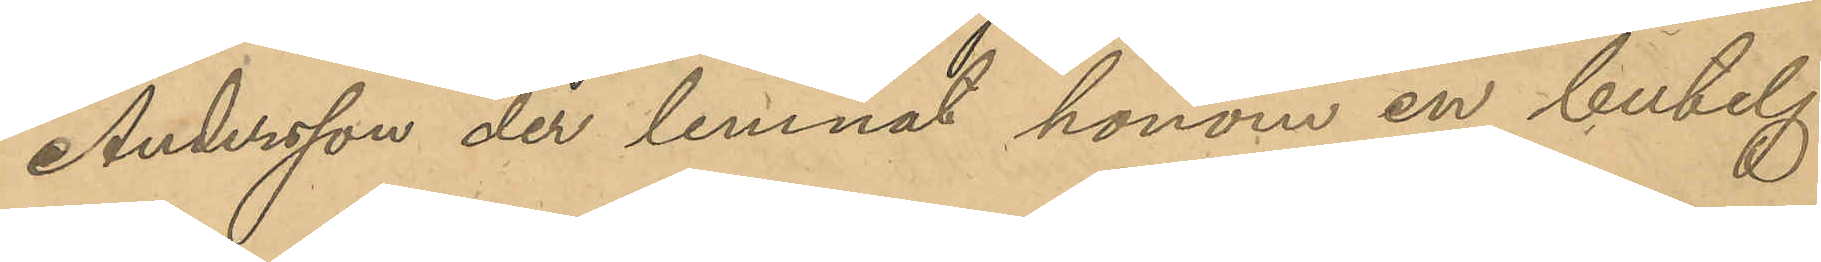Andersson der lemnat honom en butelj
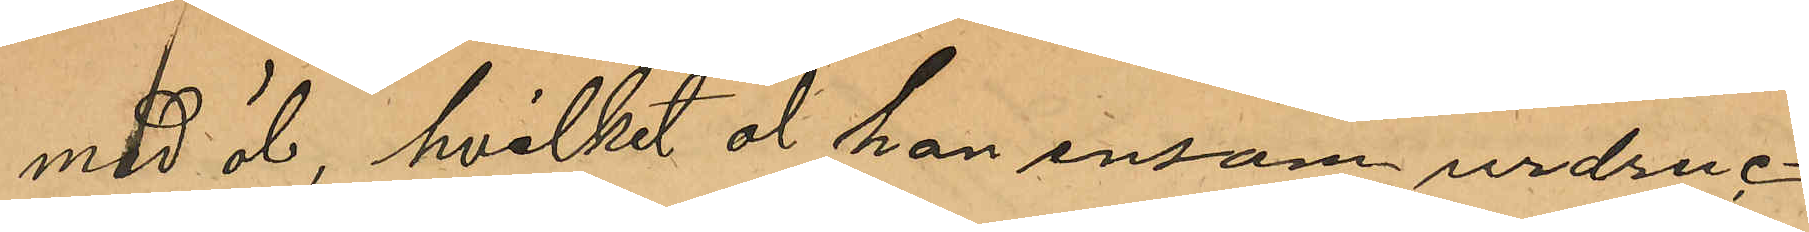med öl, hvilket öl han ensam urdruc¬
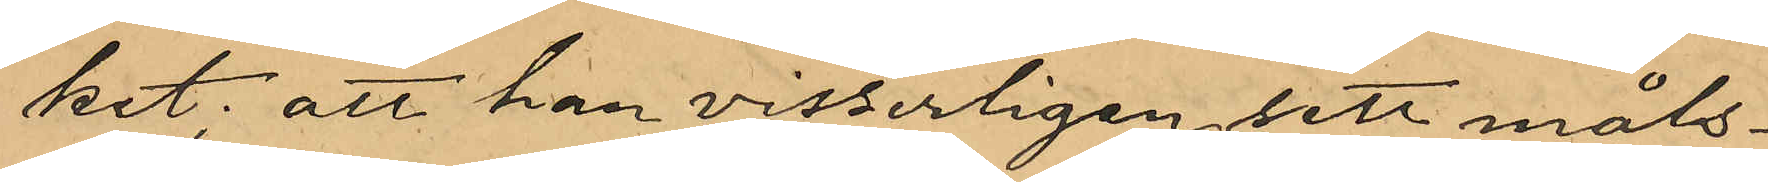kit; att han visserligen sett måls¬
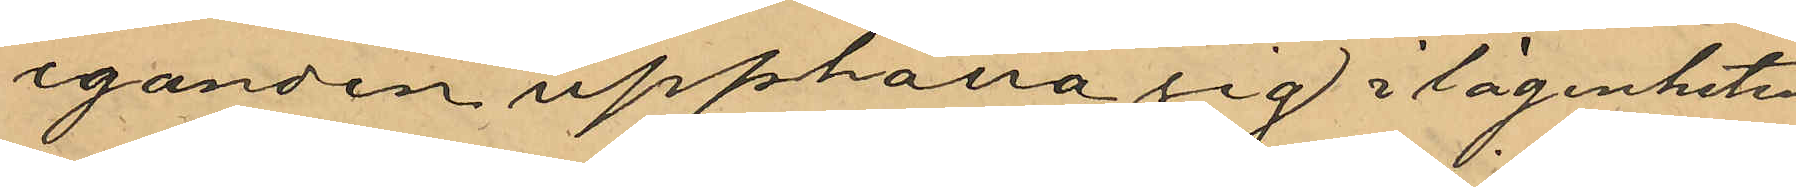eganden upphålla sig i lägenheten
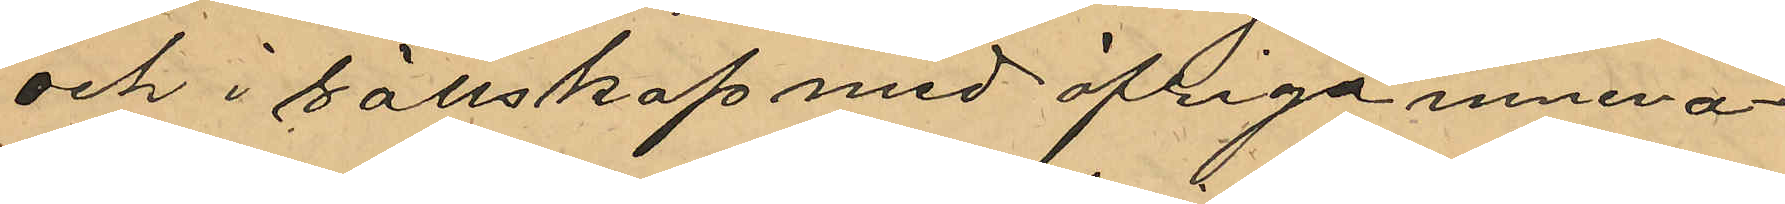och i sällskap med öfriga inneva¬
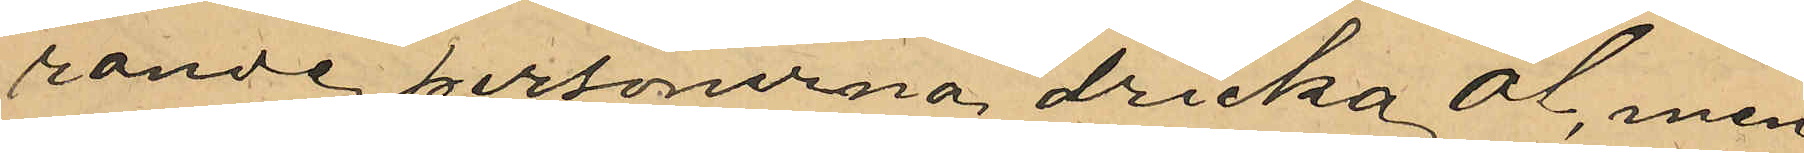rande personerna dricka öl, men
